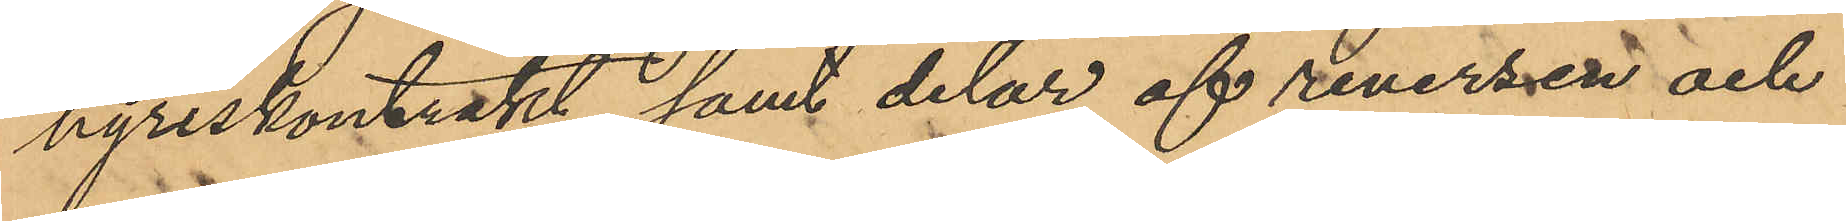hyreskontrakt samt delar af reversen och
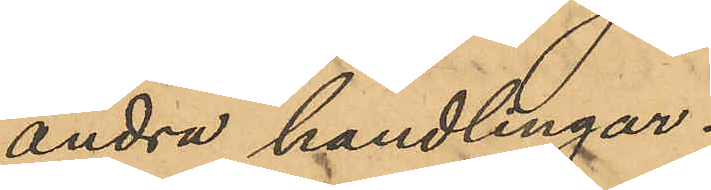andra handlingar.
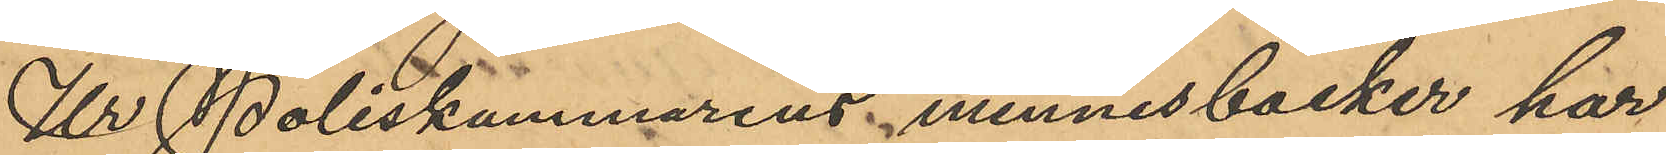Ur Poliskammarens minnesböcker har
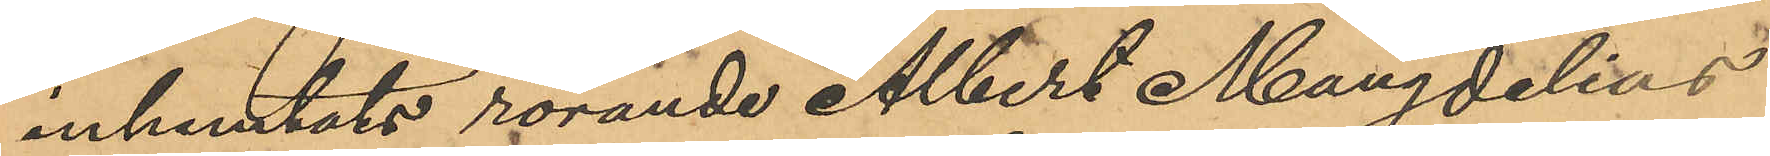inhemtats rörande Albert Mangdelius
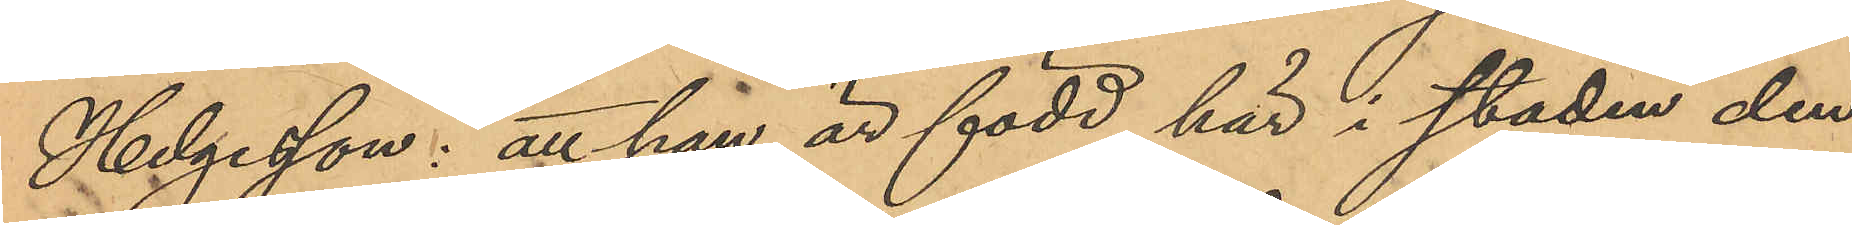Helgesson: att han är född här i staden den
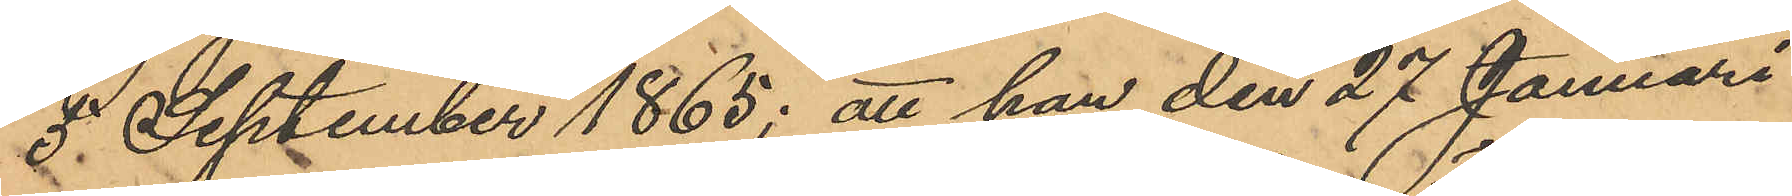3 September 1865; att han den 27 Januari
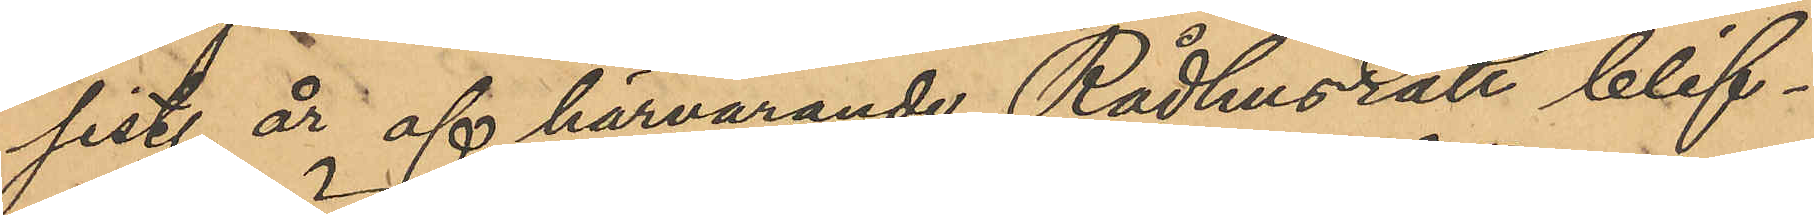sist. år af härvarande Rådhusrätt blif¬
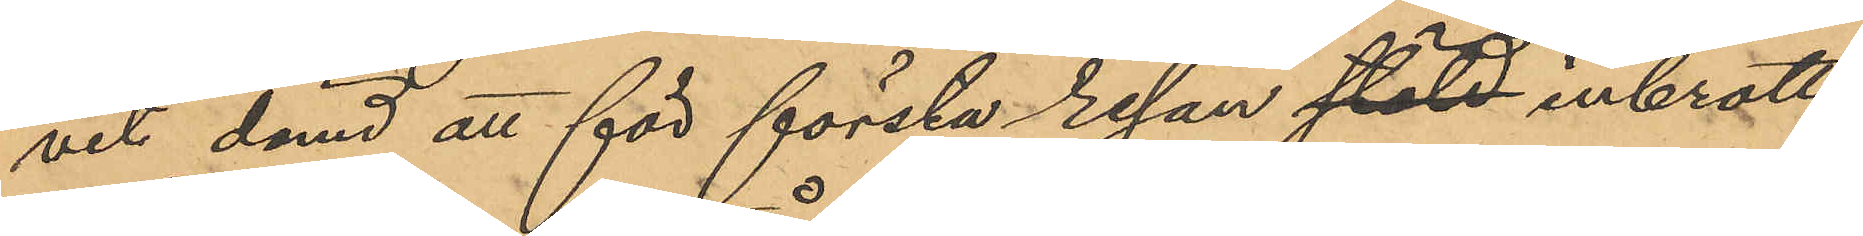vit dömd att för första resan stöld inbrotts¬
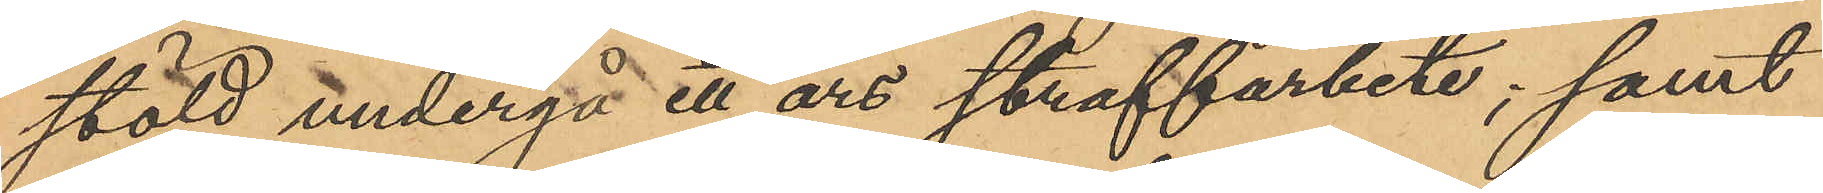stöld undergå ett års straffarbete; samt
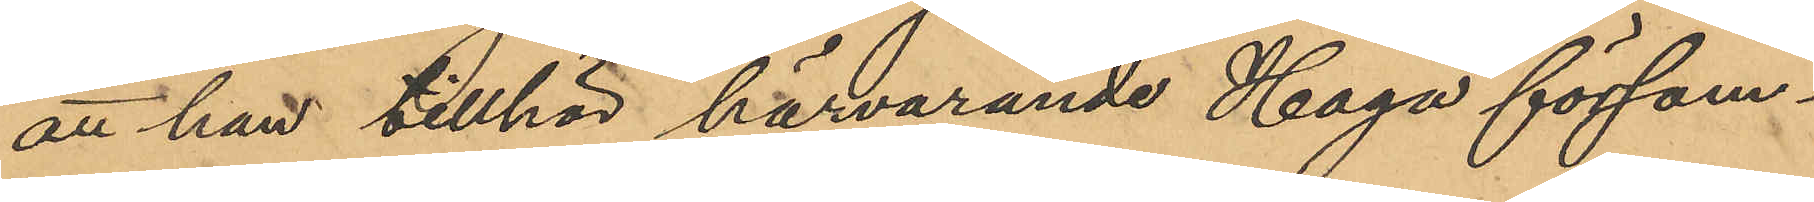att han tillhör härvarande Haga försam¬
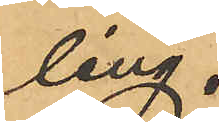ling.
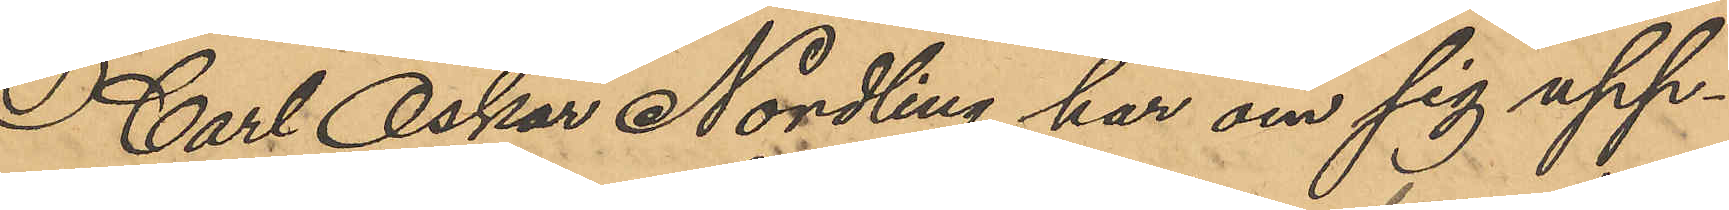Carl Oskar Nordling har om sig upp¬
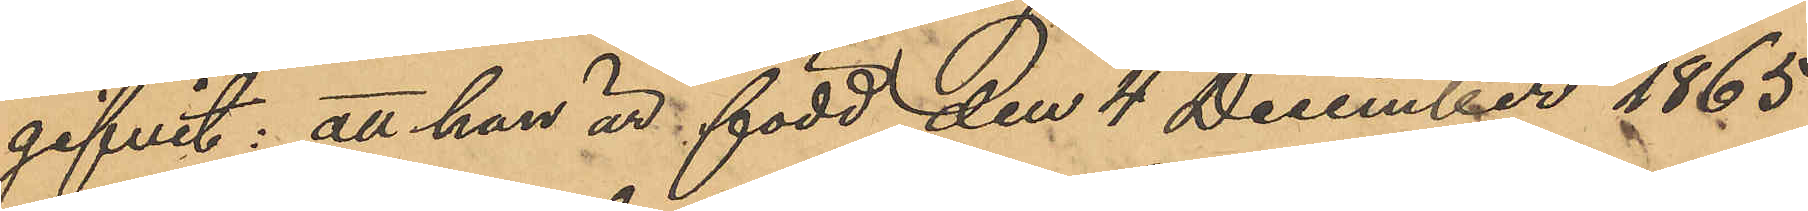gifvit: att han är född den 4 December 1865
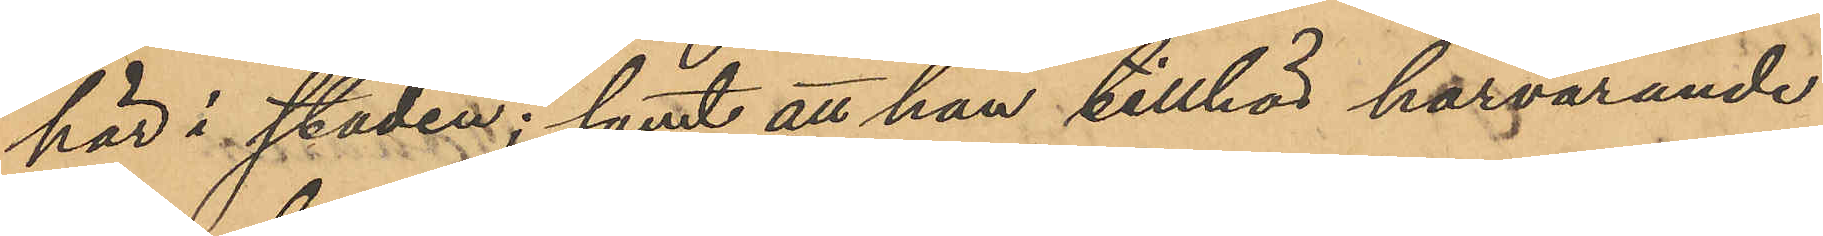här i staden; samt att han tillhör härvarande
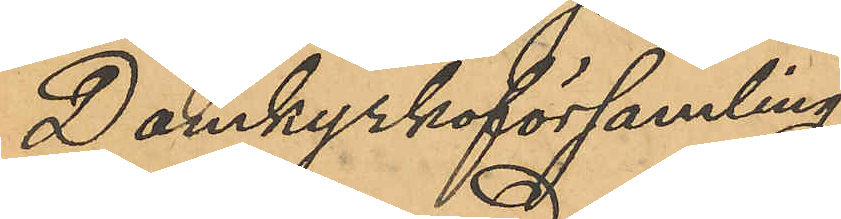Domkyrkoförsamling.
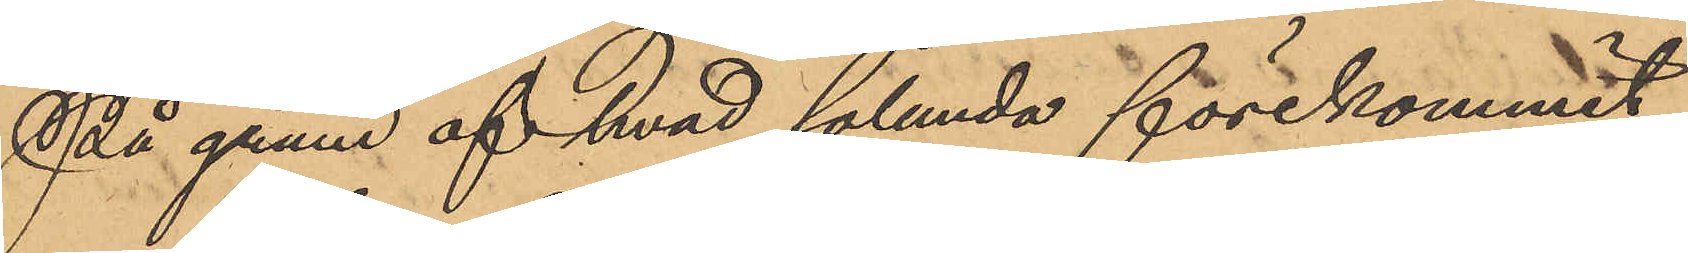På grund af hvad sålunda förekommit
